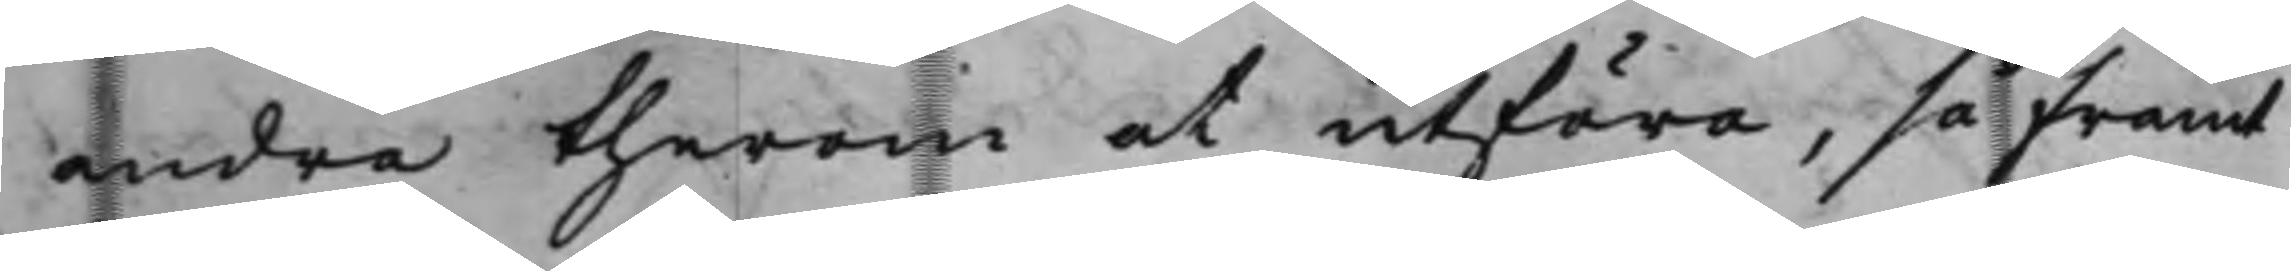andra therom at utföra, så framt
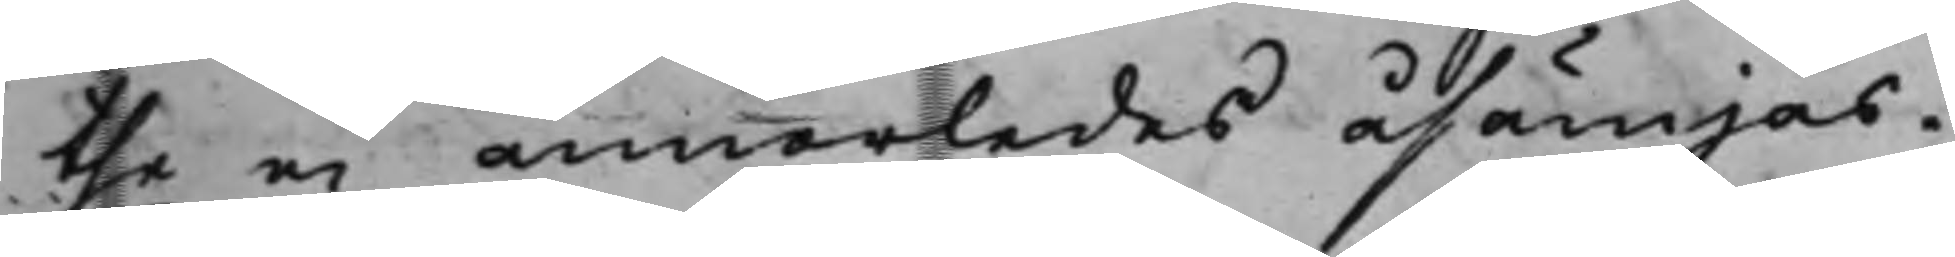the ei annorledes åsämjas.
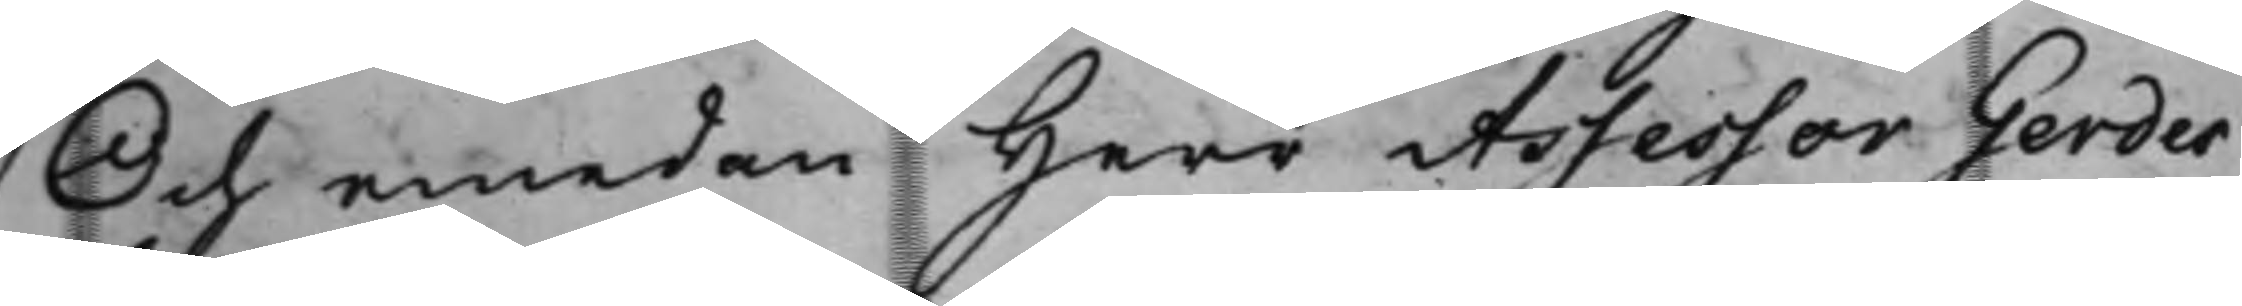Och emedan Herr Assessor Gerdes¬
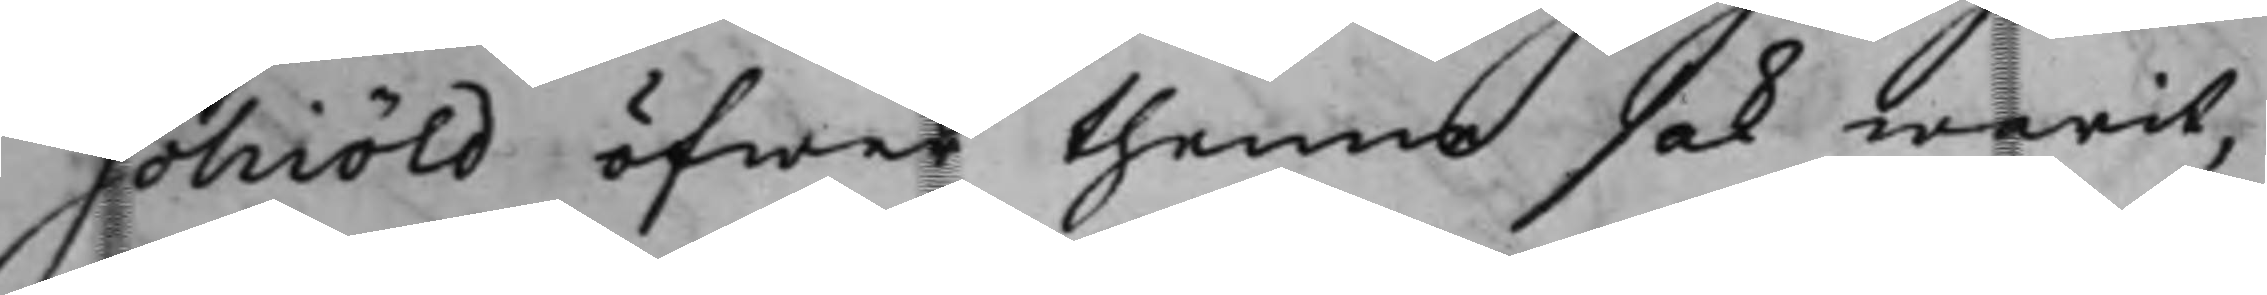schiöld öfwer thenne sak warit,
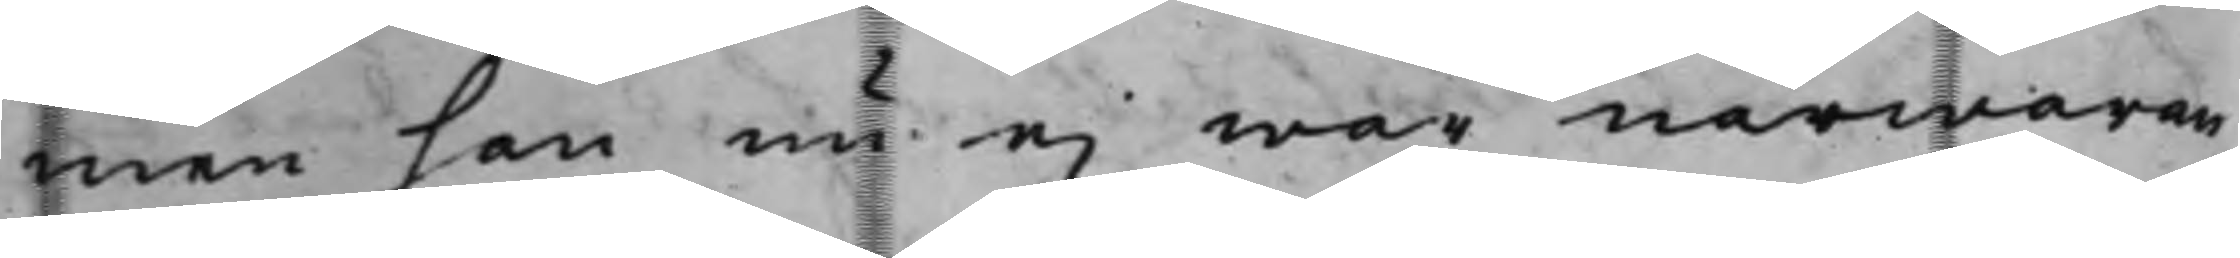men han nu ei war närwaran¬
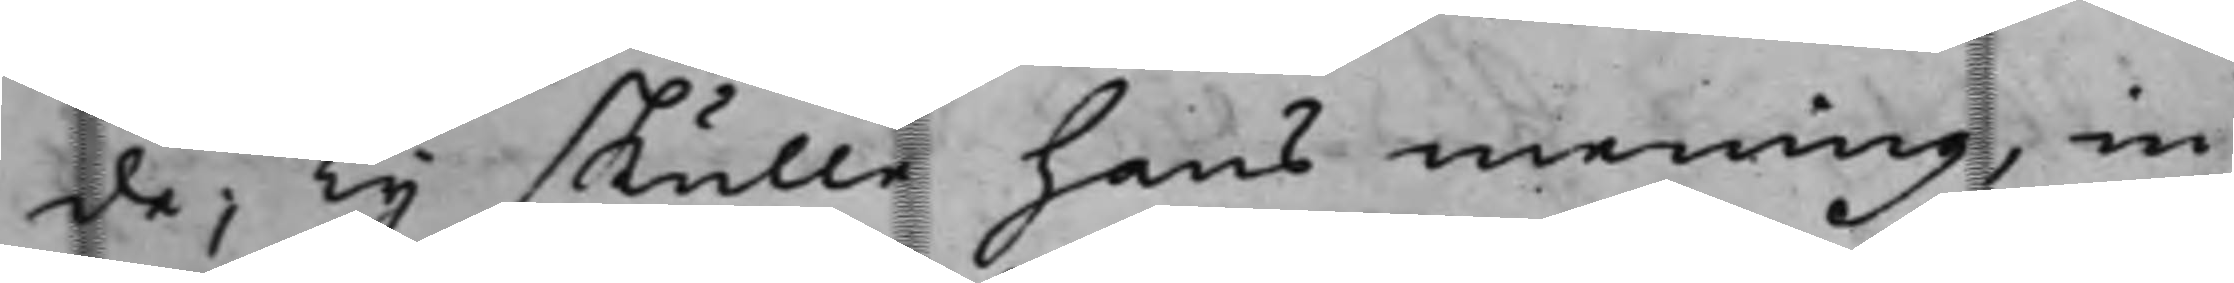de; Ty skulle hans mening, in¬
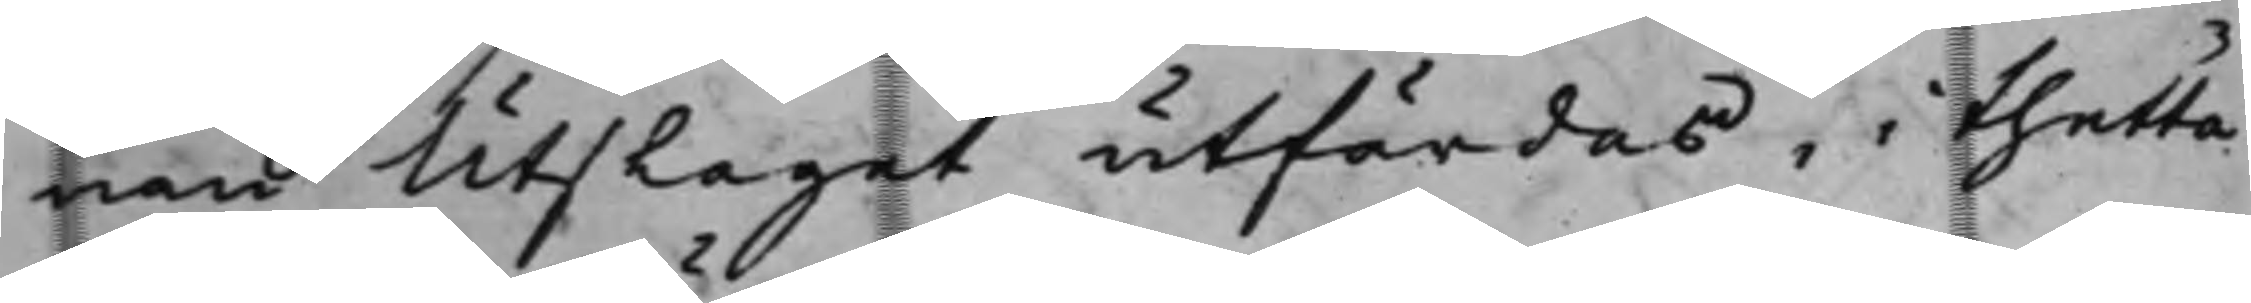nan Utslaget utfärdas, i thetta
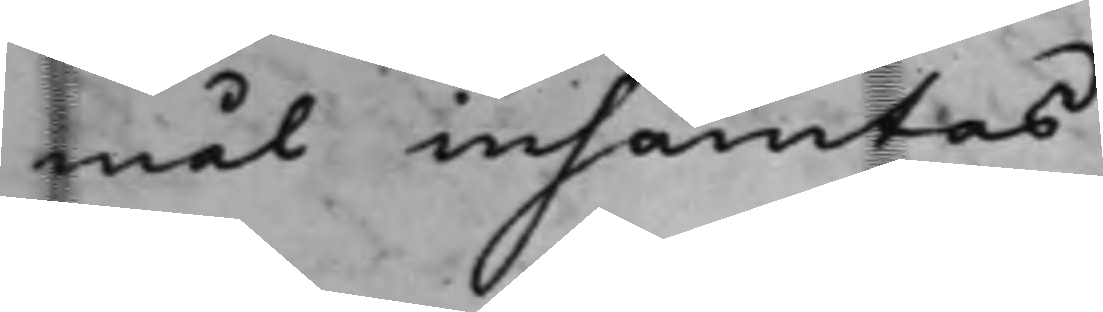mål inhämtas.
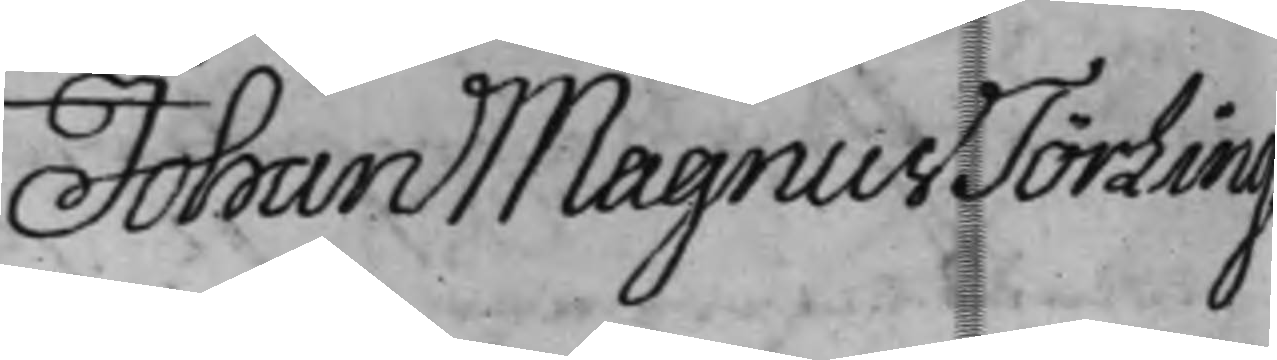Johan Magnus Törling
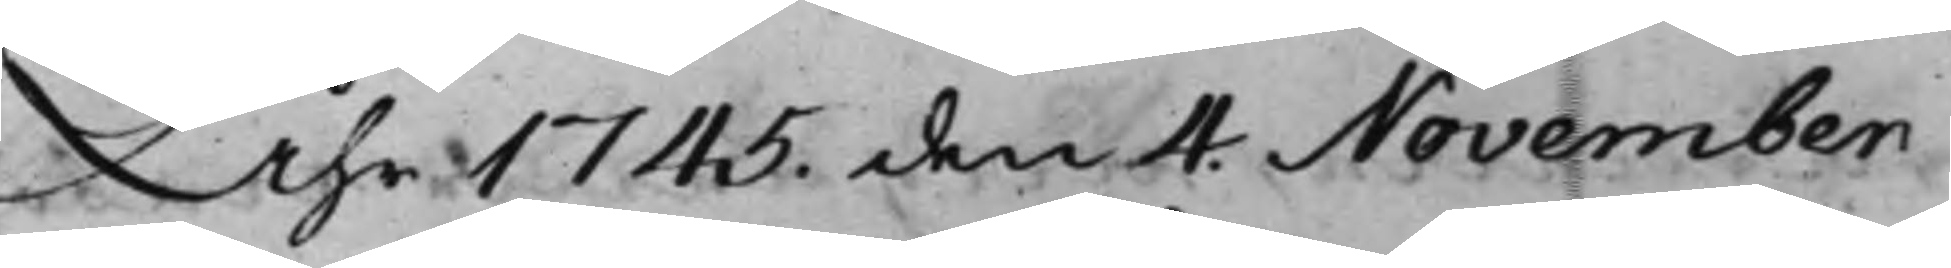Åhr 1745. den 4 November
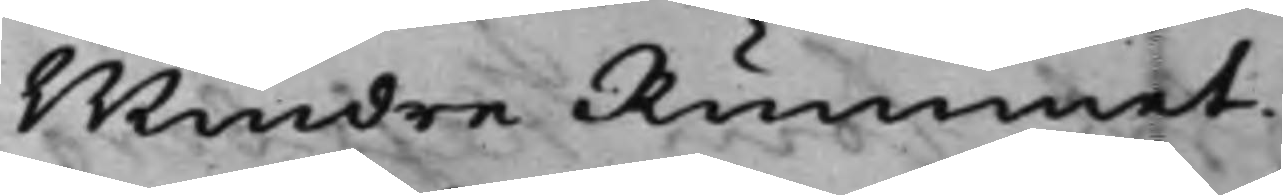Mindre Rummet.
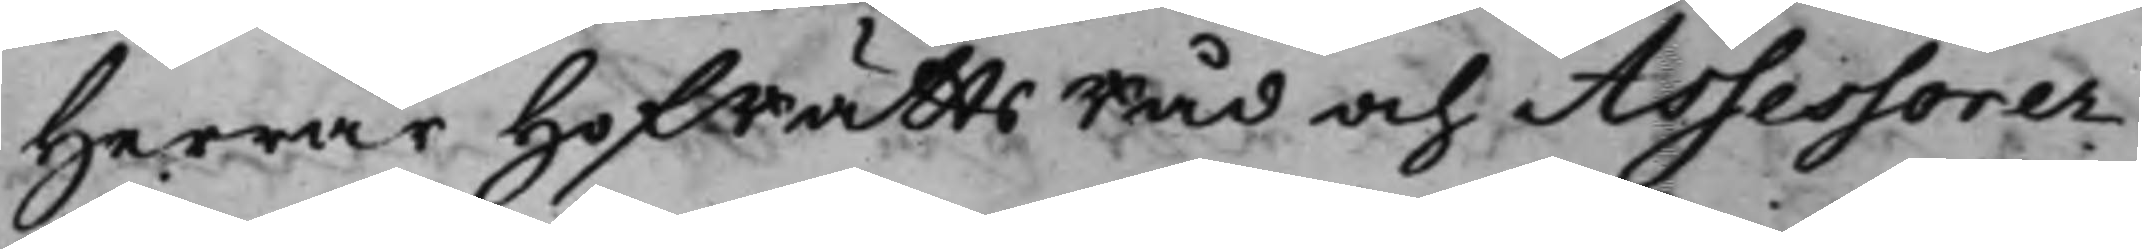Herrar HofRättsRåd och Assessorer
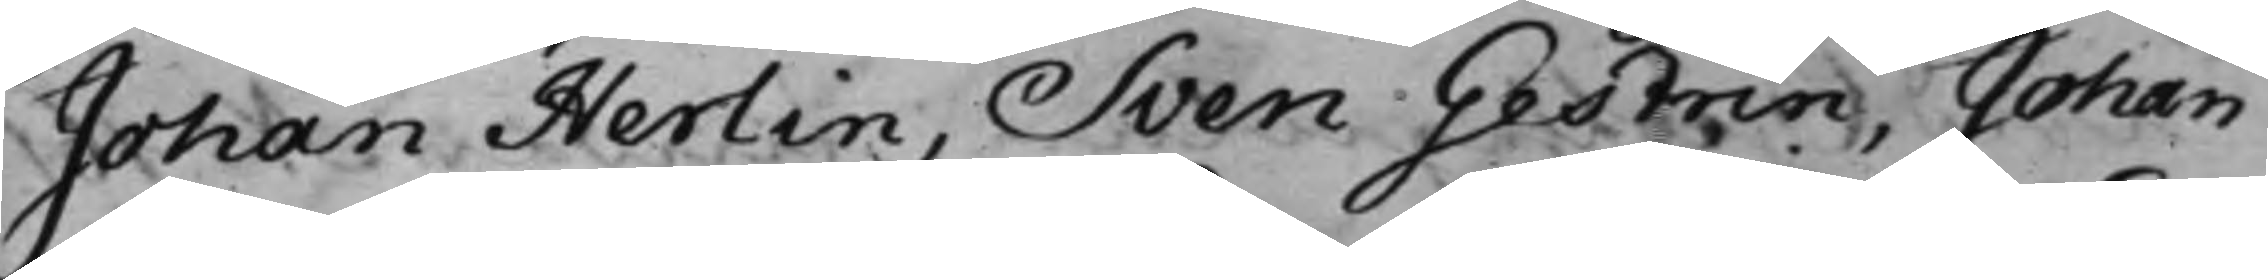Johan Herlin, Sven Gestrin, Johan
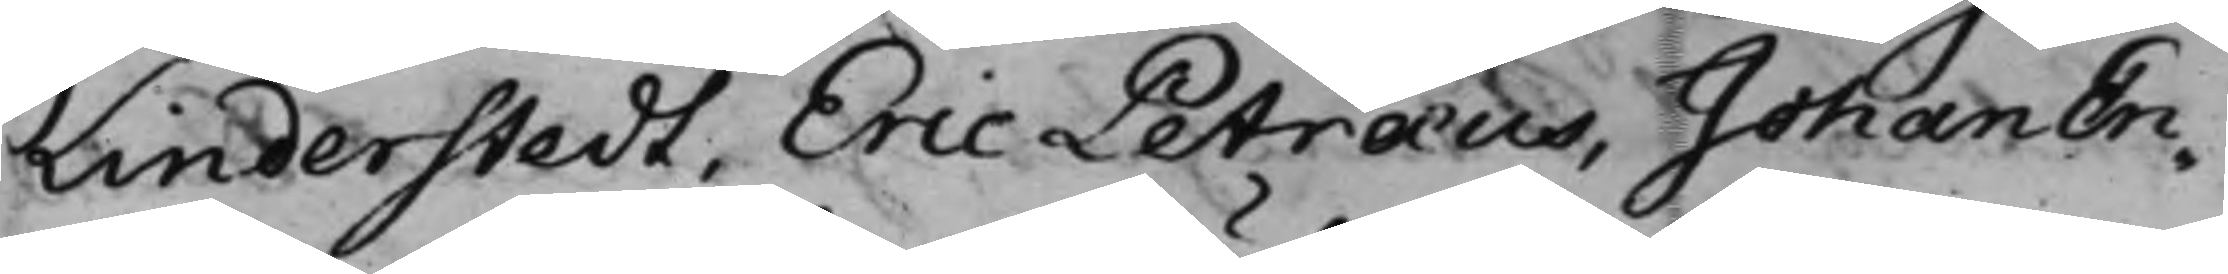Linderstedt, Eric Petræus, Johan En¬
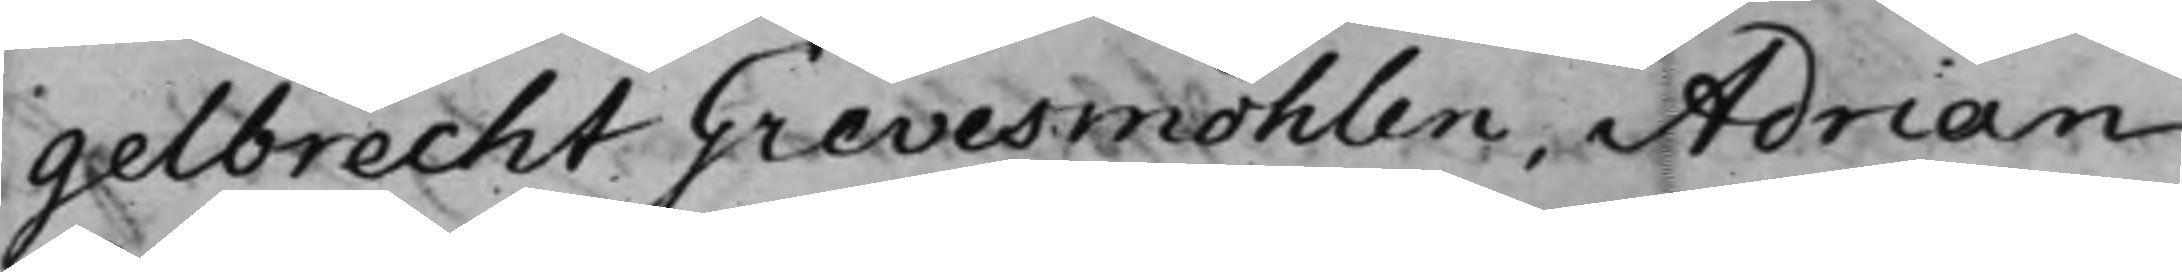gelbrecht Grevesmöhlen, Adrian
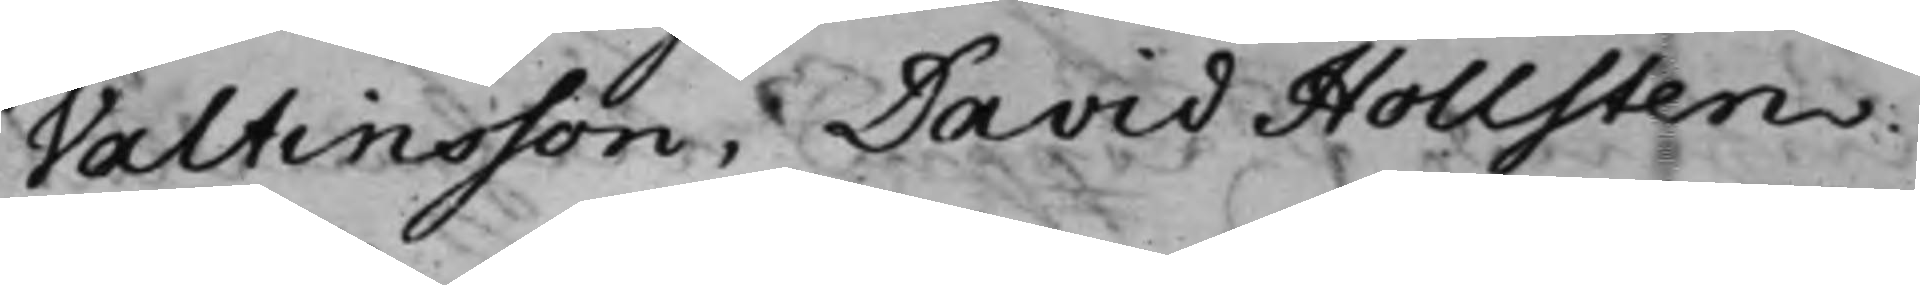Valtinsson, David Hollsten.
